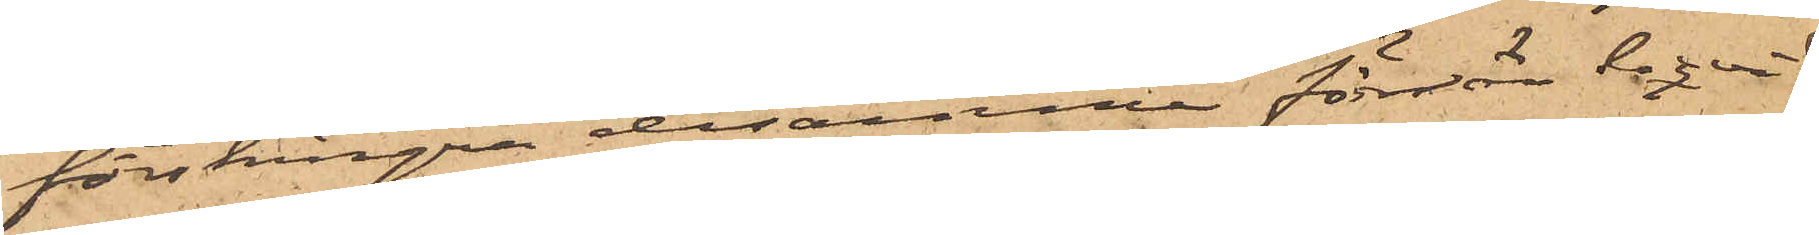förskingra desamma förrän liqvid
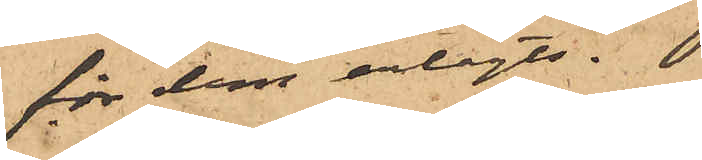för dem erlagts.
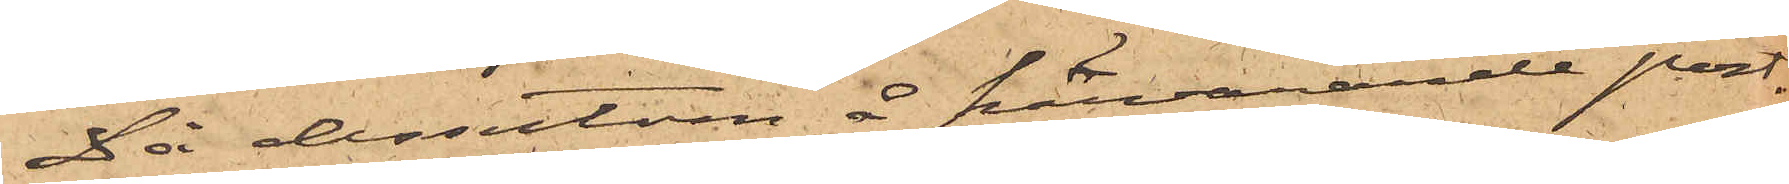Då dessutom å härvarande post¬
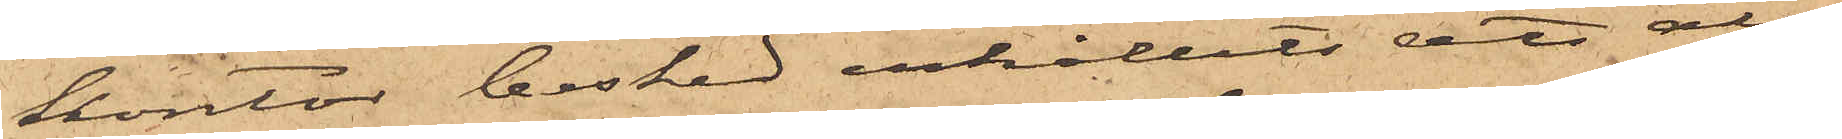kontor besked erhållits att alla
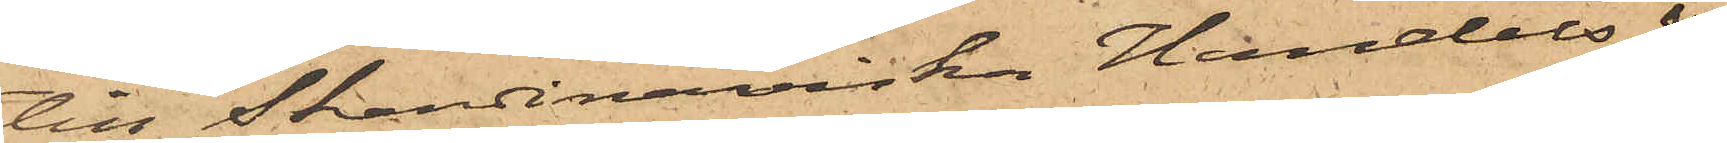till Skandinaviska Handels &
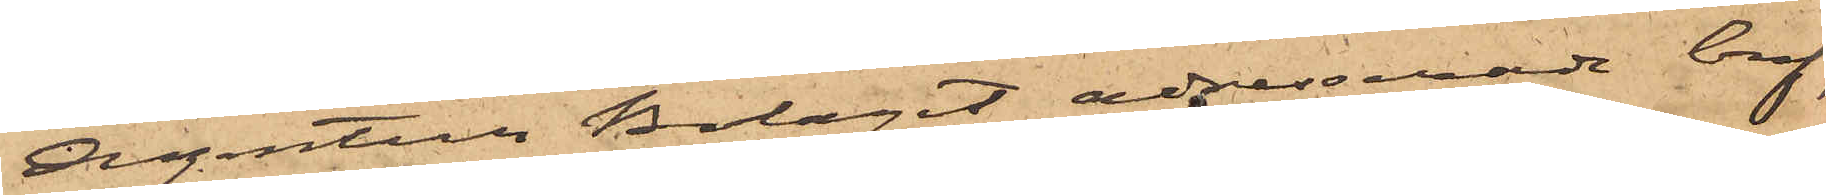Agentur Bolaget adresserade bref,
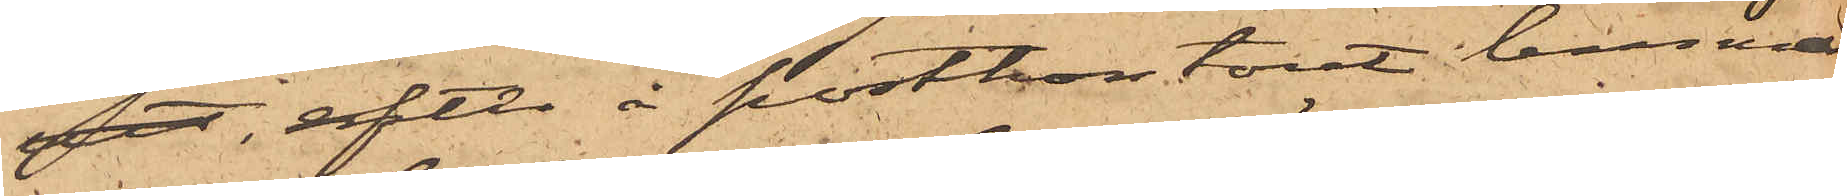det, efter å postkontoret lemnad
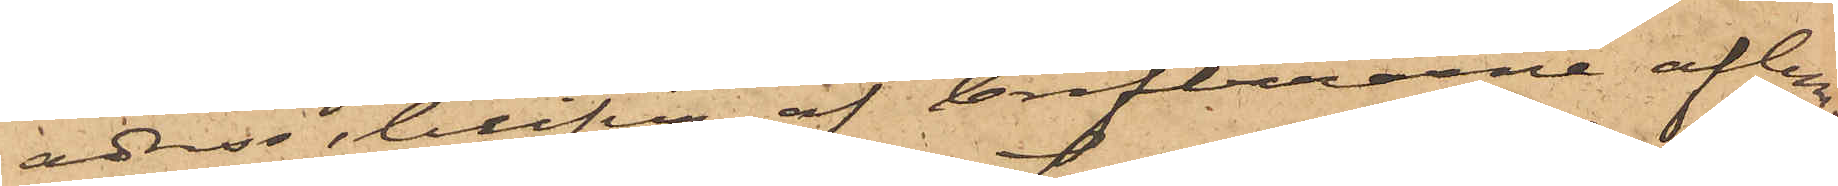adress, blifva af brefbärarne aflem¬
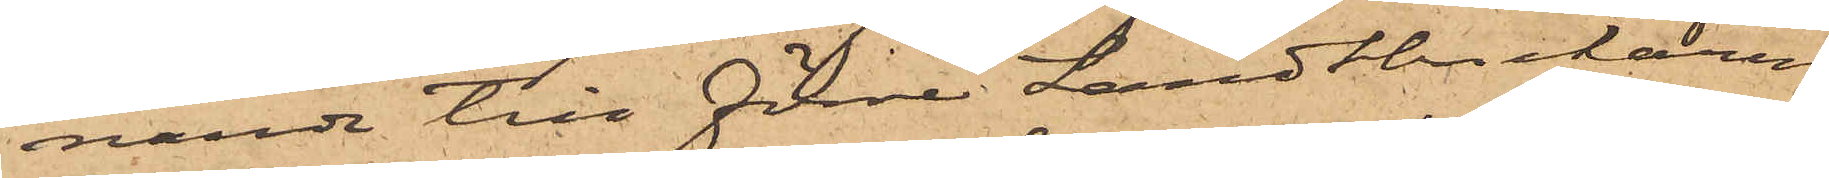nande till förre Landtbrukaren
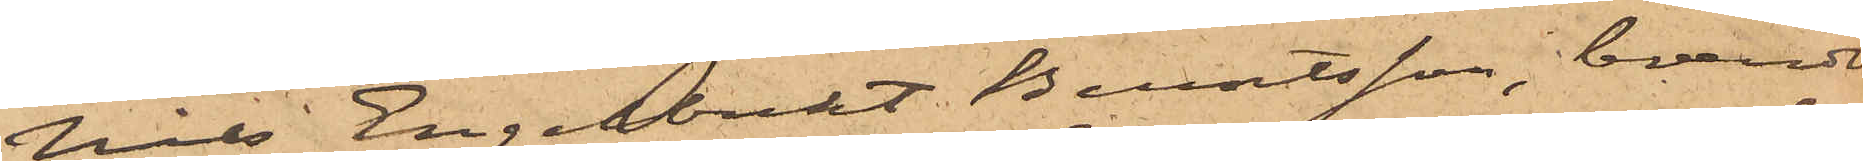Nils Engelbrekt Berntsson, boende
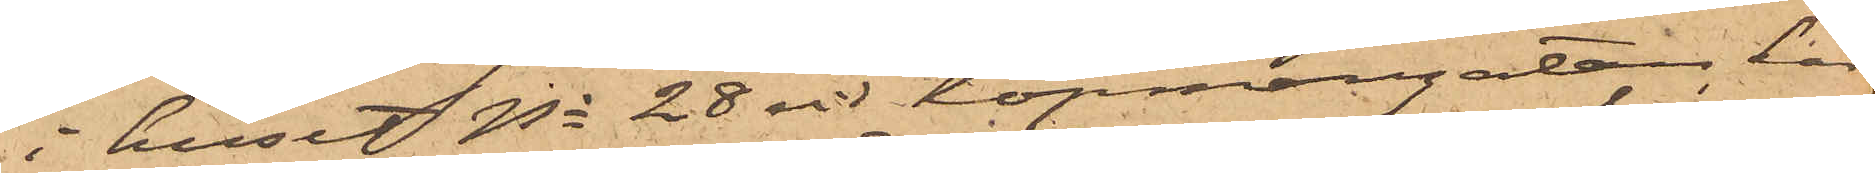i huset No 28 vid Köpmangatan, har
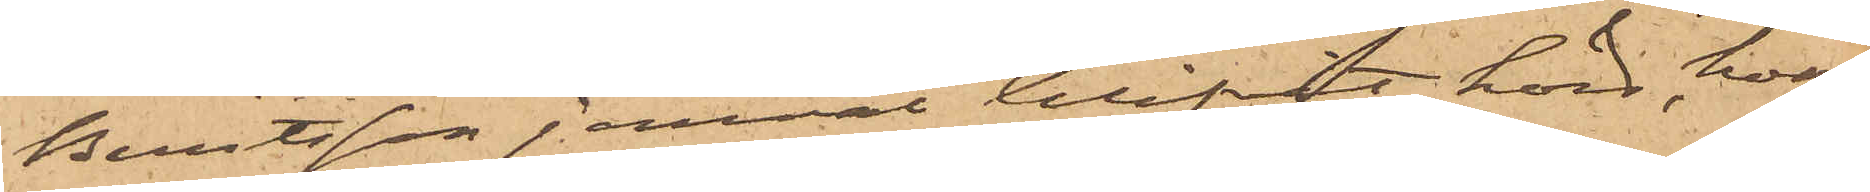Berntsson jemväl blifvit hörd, hvar¬
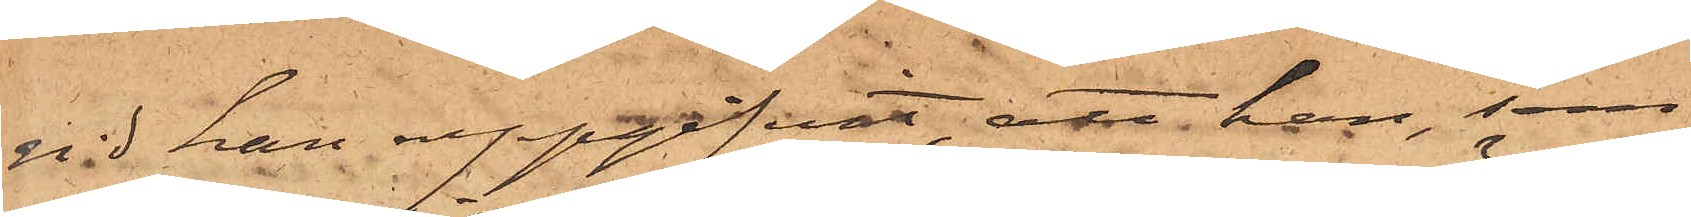vid han uppgifvit, att han, som
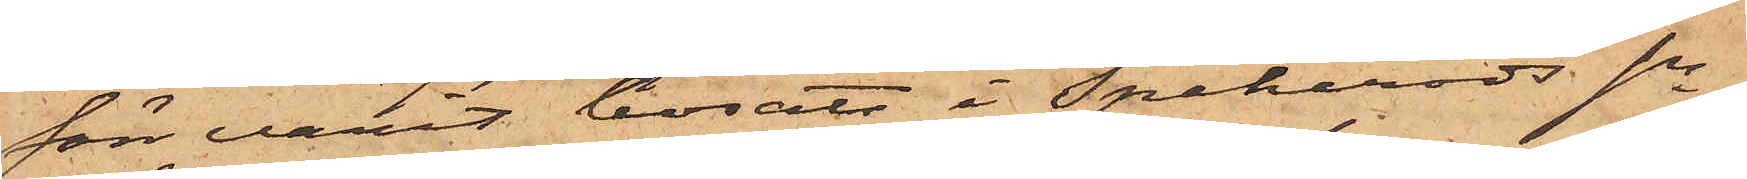förr varit bosatt i Spekeröds sn,
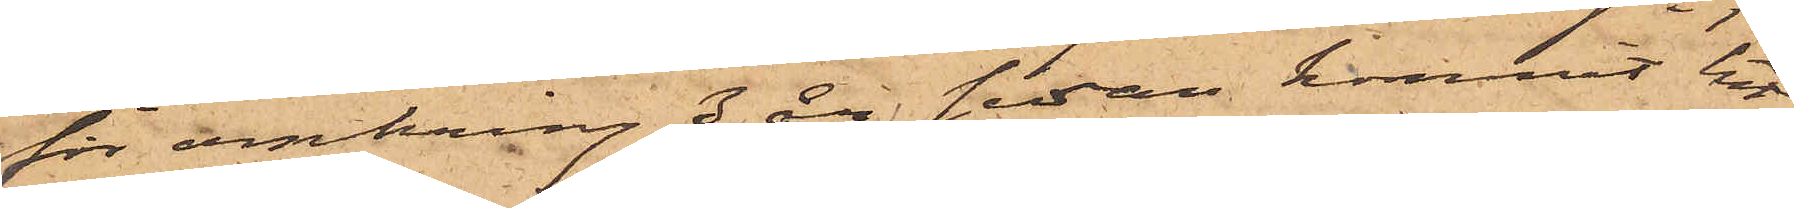för omkring 3 år sedan kommit till
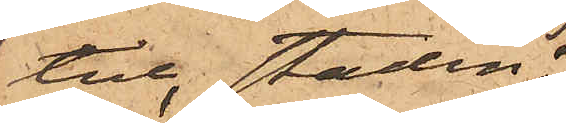till staden;
